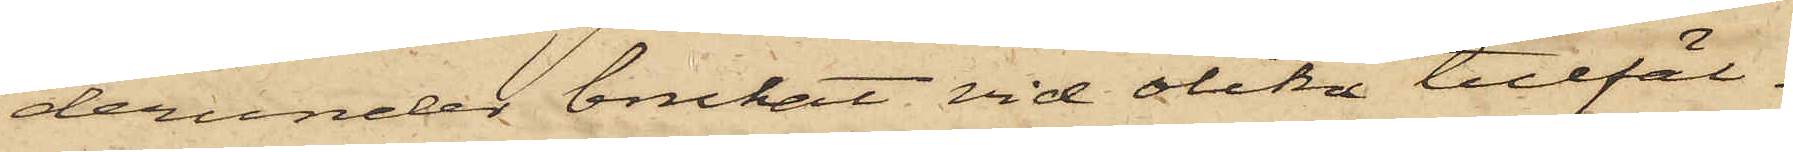derunder brukat vid olika tillfäl¬
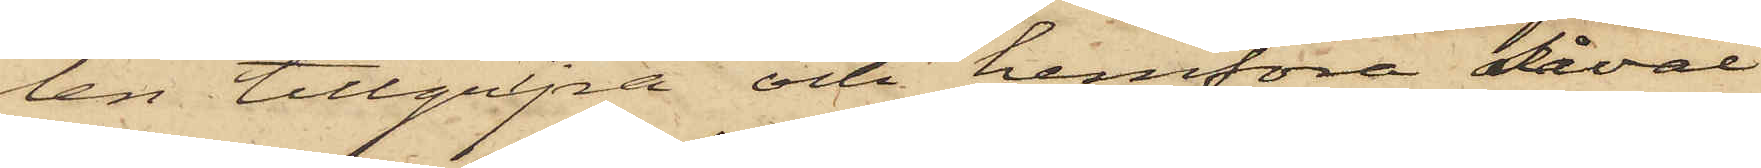len tillgripa och hemföra såväl
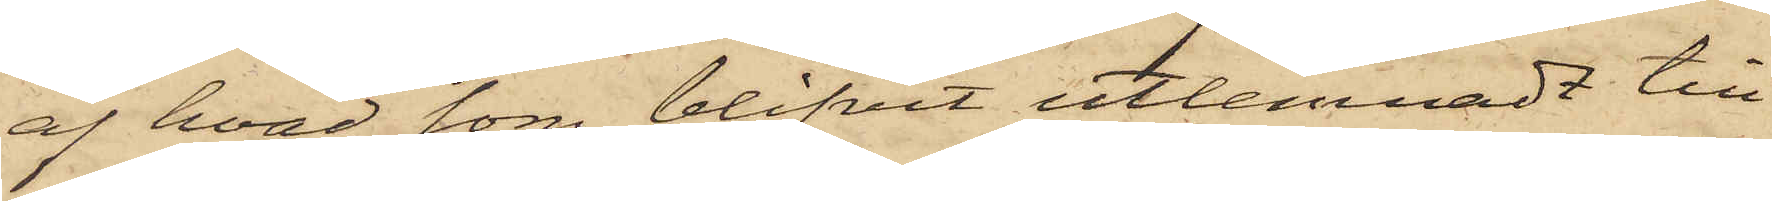af hvad som blifvit utlemnadt till
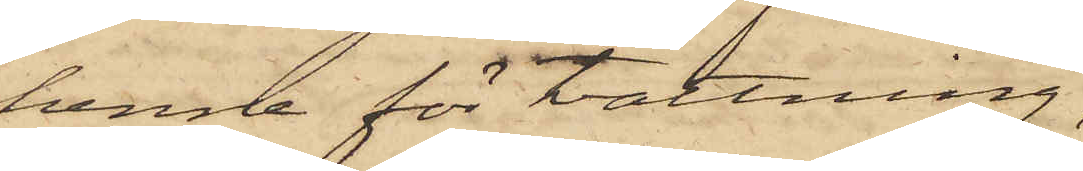henne för tvättning
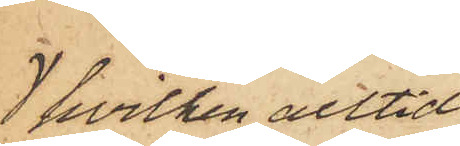, hvilken alltid
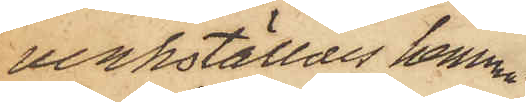verkställdes hemma
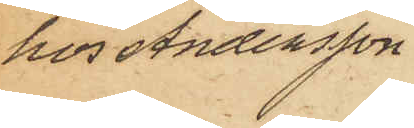hos Andersson,
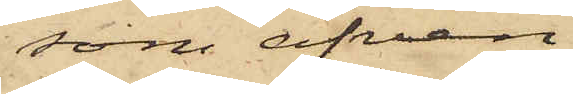som äfven
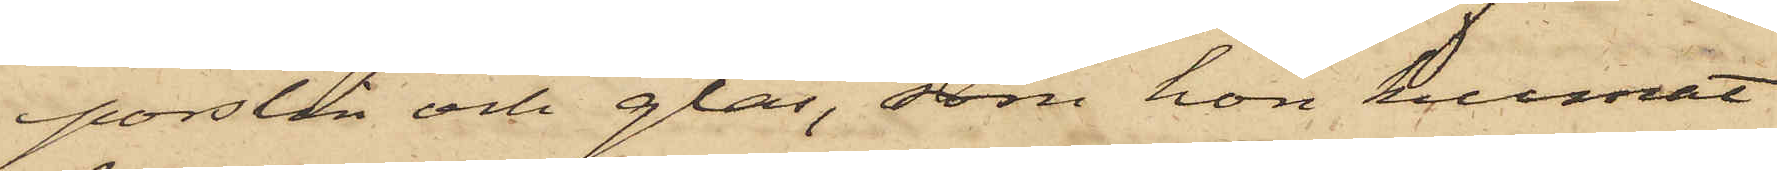porslin och glas, som hon kunnat
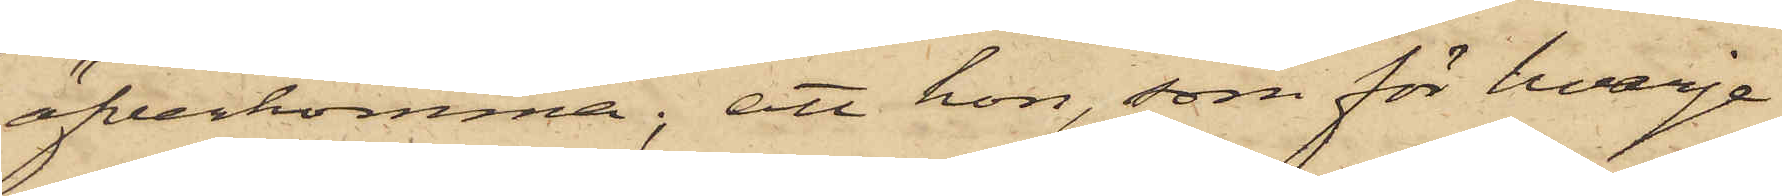öfverkomma; att hon, som för hvarje
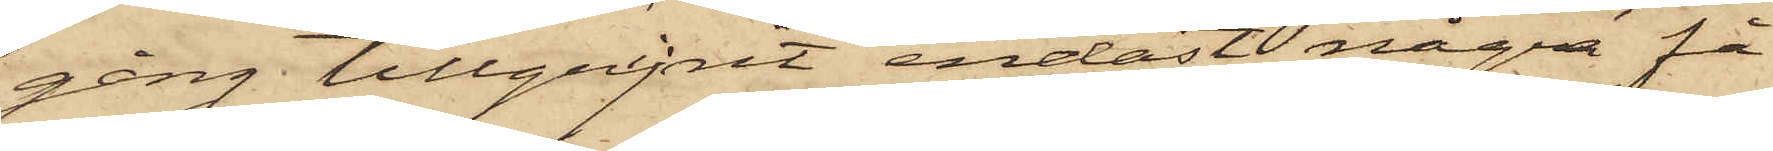gång tillgripit endast några få
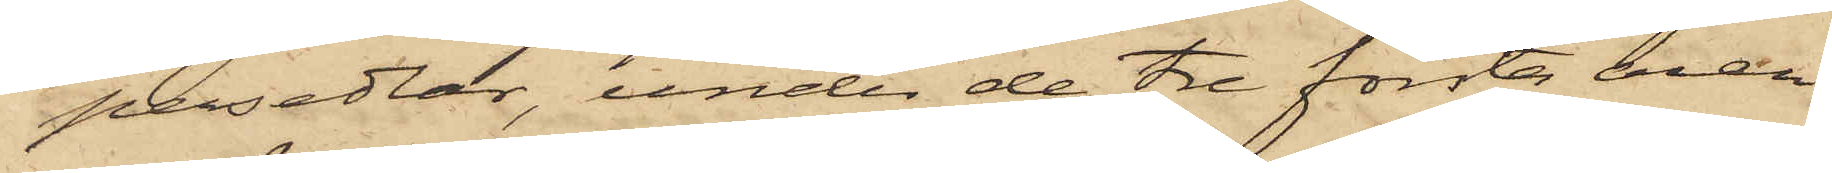persedlar, under de tre första åren
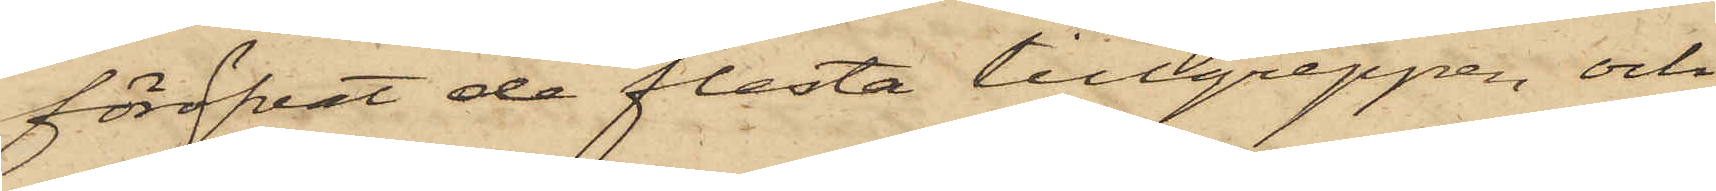föröfvat de flesta tillgreppen, och
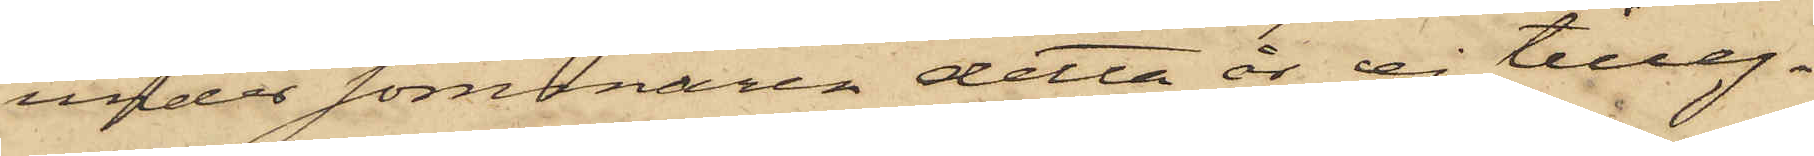under sommaren detta år ej tilleg¬
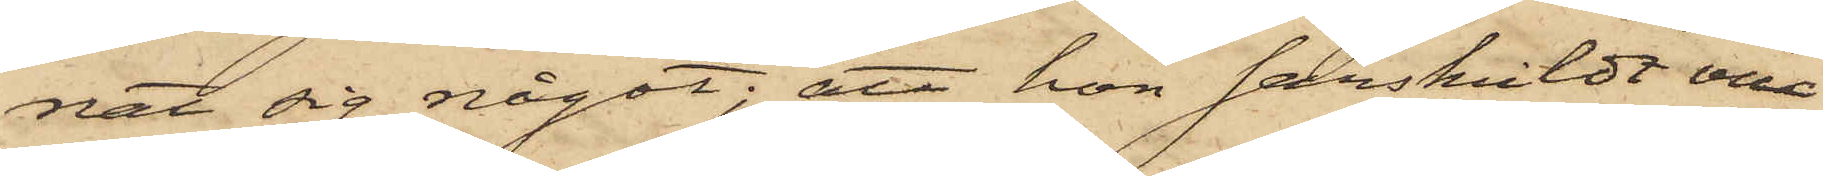nat sig något; att hon särskildt vill
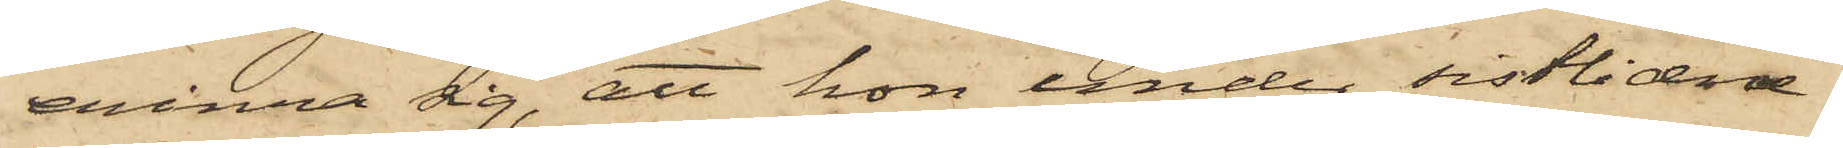erinra sig, att hon under sistlidne
